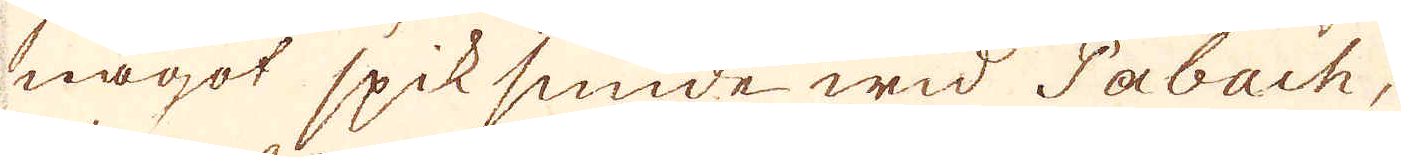något spik smide wid Pabach,
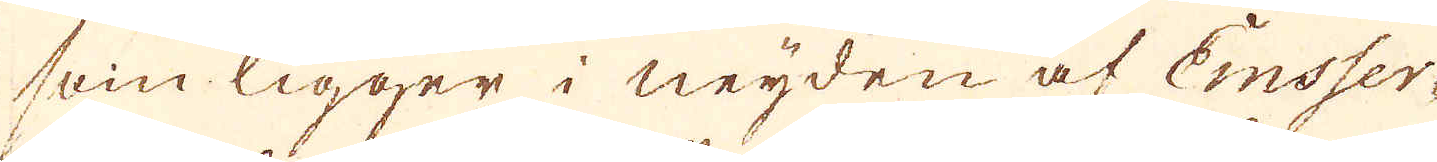som ligger i neijden af Emsser-
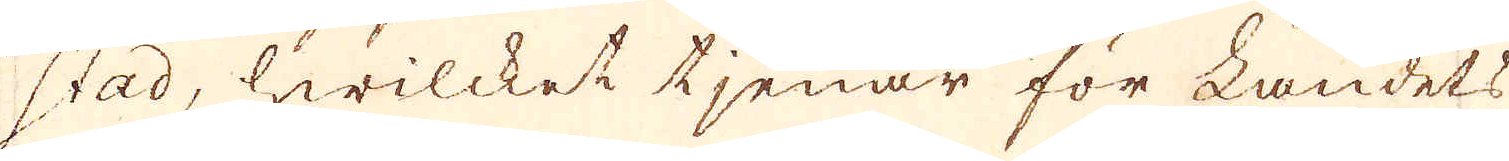stad, hwilcket tjenar för Landets
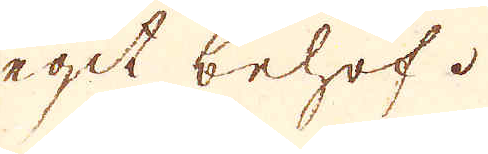egit behof.
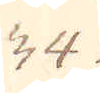34.
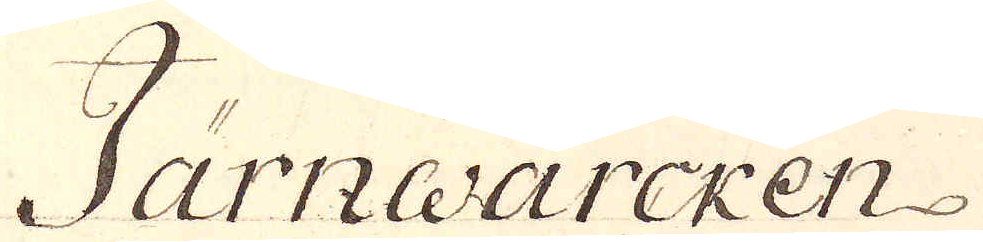Järnwärcken
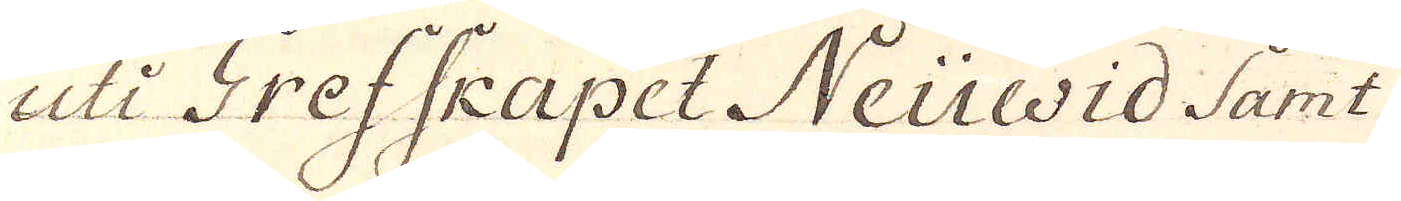uti Grefskapet Neuwid Samt:
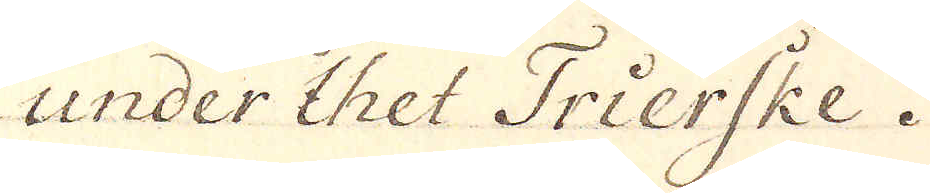under thet Trierske.
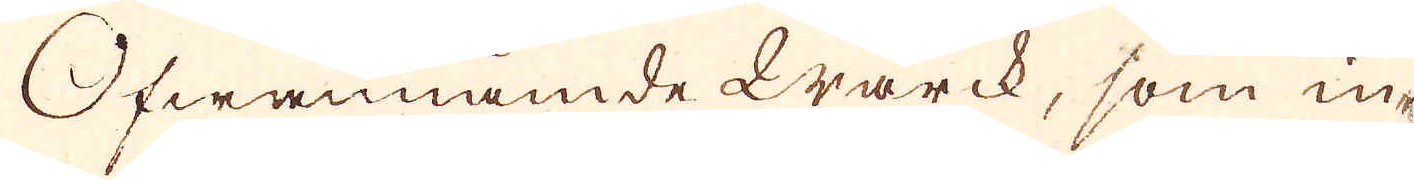Ofwannämde wärck, som in-
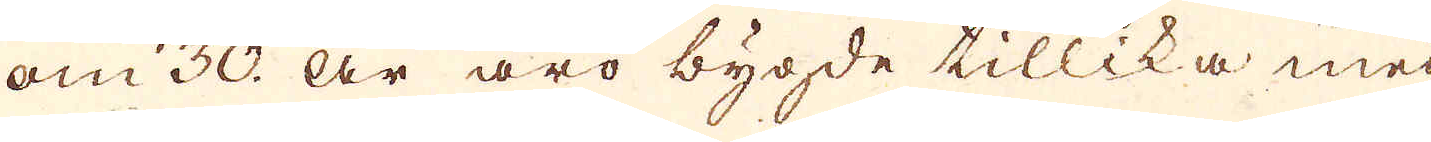om 30. År äro bygde tillika med
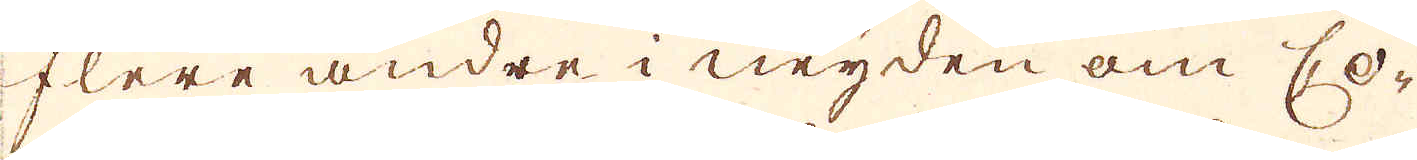flere andre i neyden om Co-
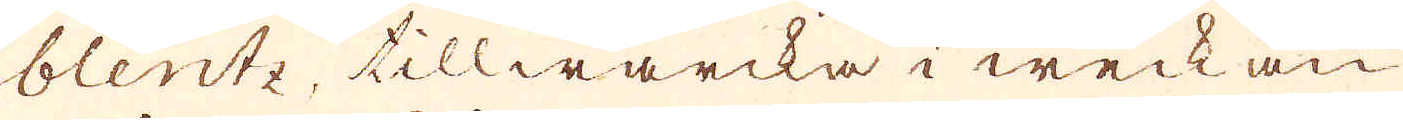blentz, tillwärcka i weckan
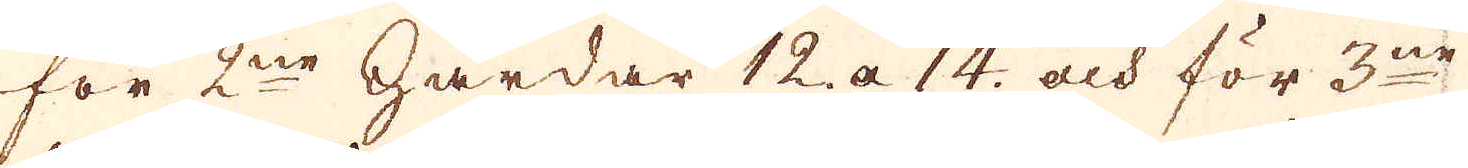för 2ne härdar 12 a 14 och för 3ne
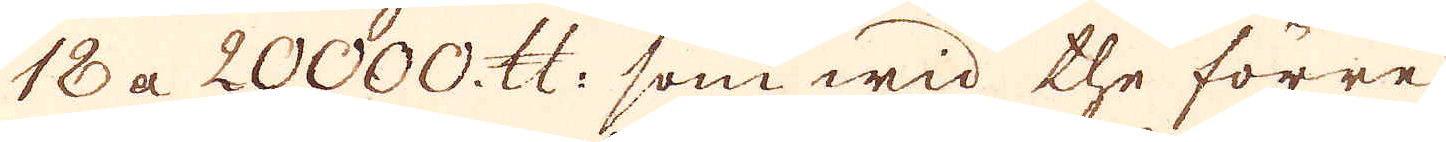18 a 20000 skålpund: som wid the förre
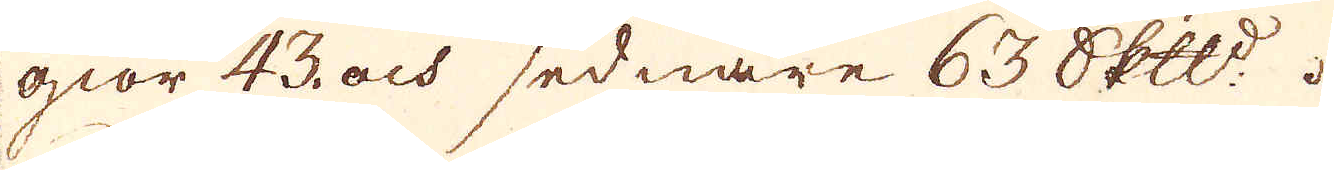giör 43 och sednare 63 Skeppund.
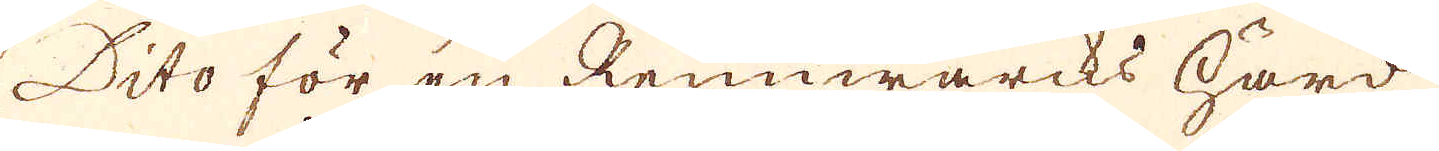Dito för en Rennwärcks härd
